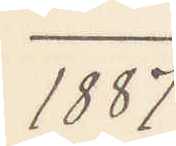1887
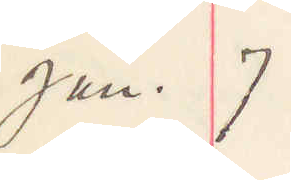Jan. 7
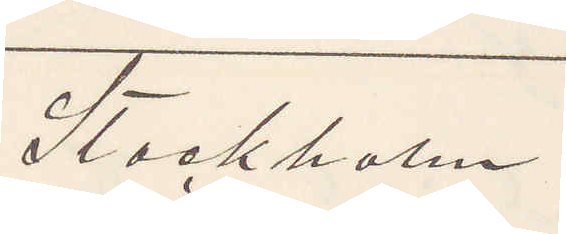Stockholm
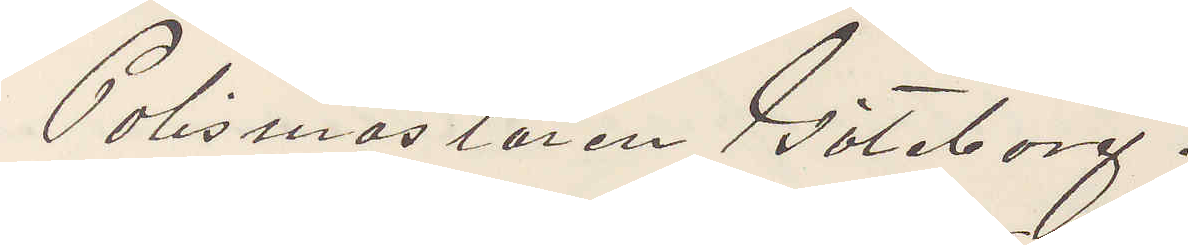Polismästaren Göteborg.
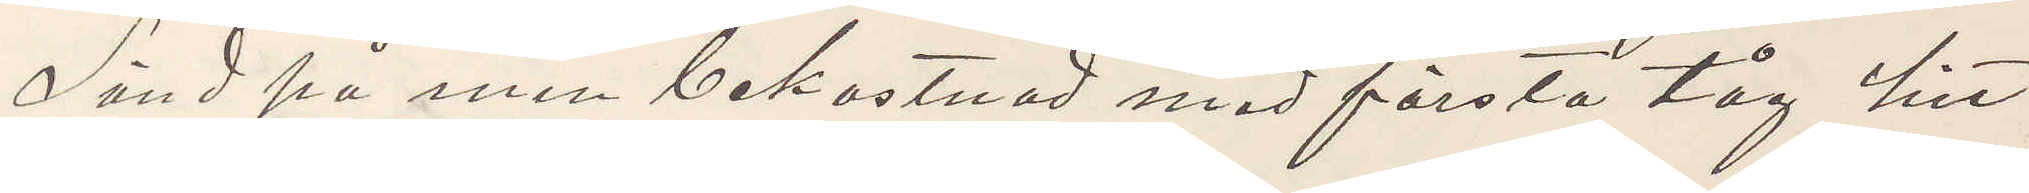Sänd på min bekostnad med första tåg hit
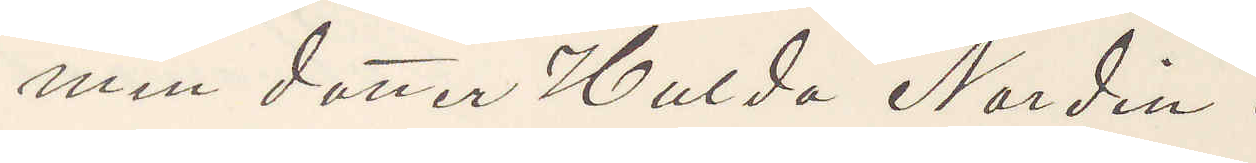min dotter Hulda Nordin.
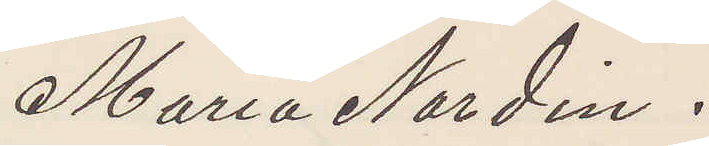Maria Nordin.
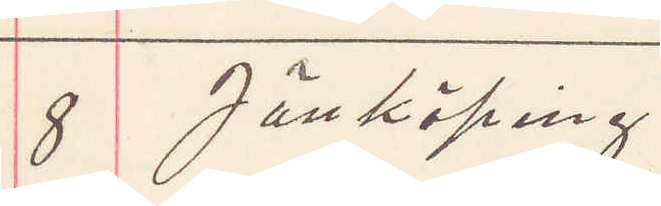8 Jönköping
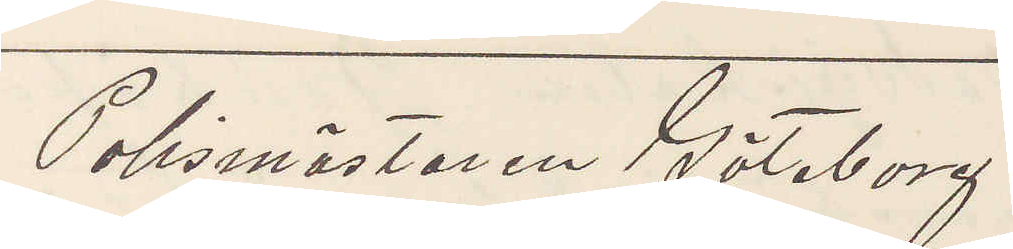Polismästaren Göteborg.
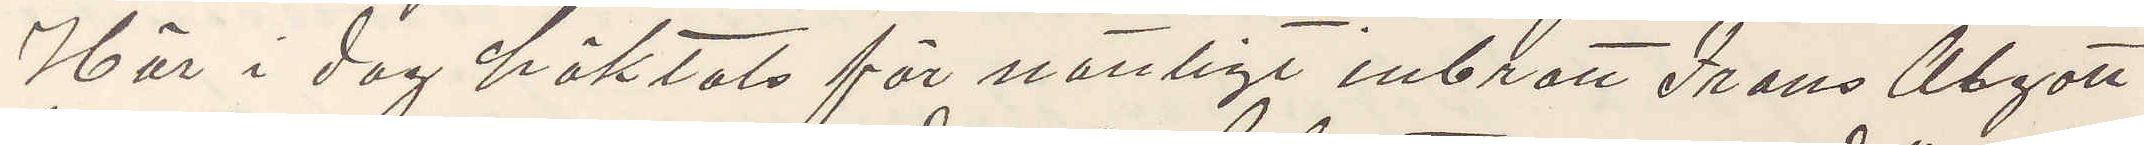Här i dag häktats för nattligt inbrott Frans Algott
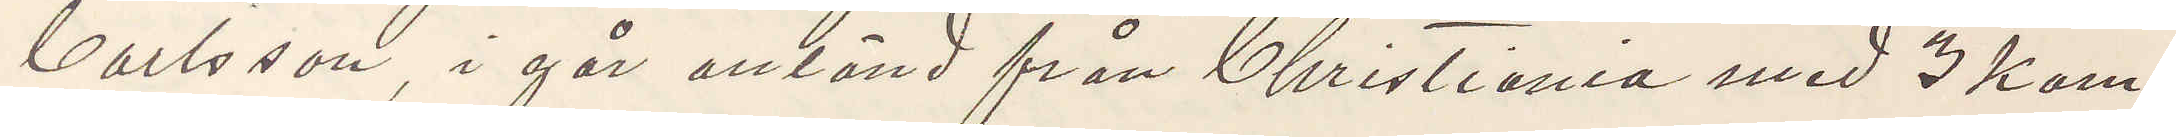Carlsson, i går anländ från Christiania med 3 kam¬
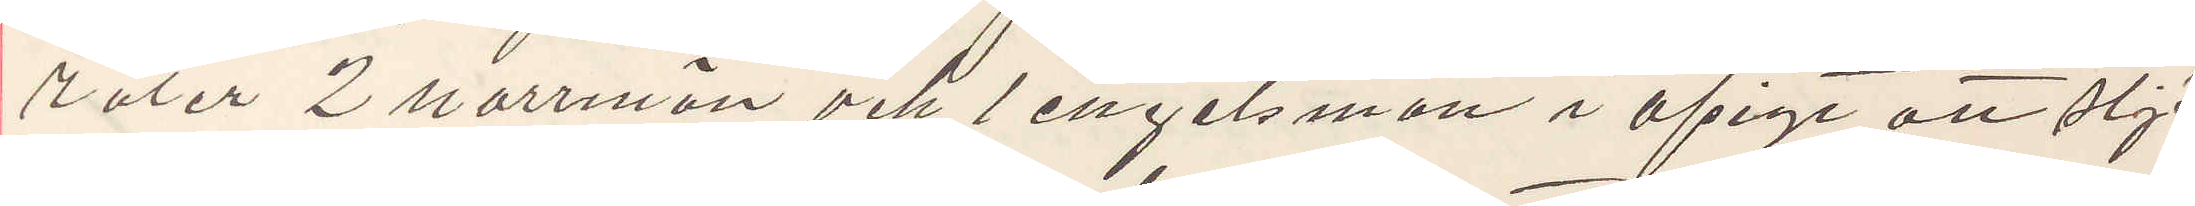rater 2 norrman och 1 engelsman i afsigt att stjä
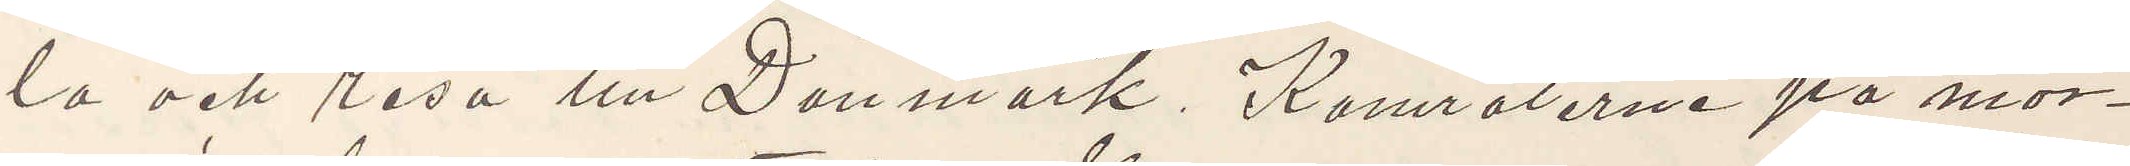la och resa till Danmark. Kamraterne på mor¬
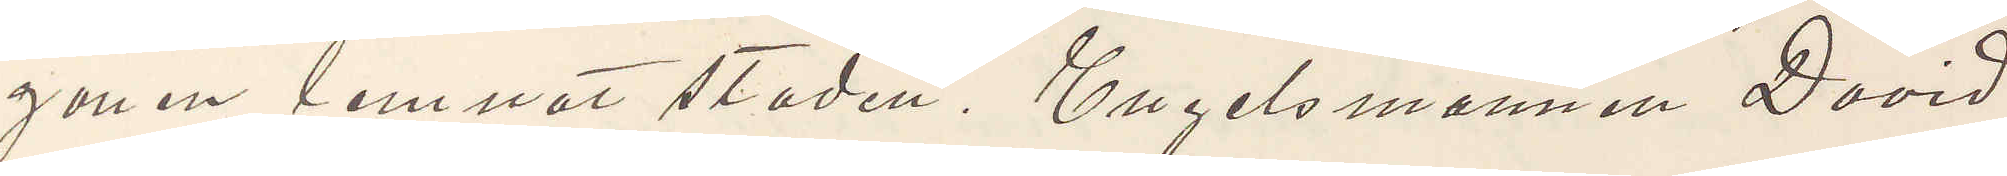gonen lemnat staden. Engelsmannen David
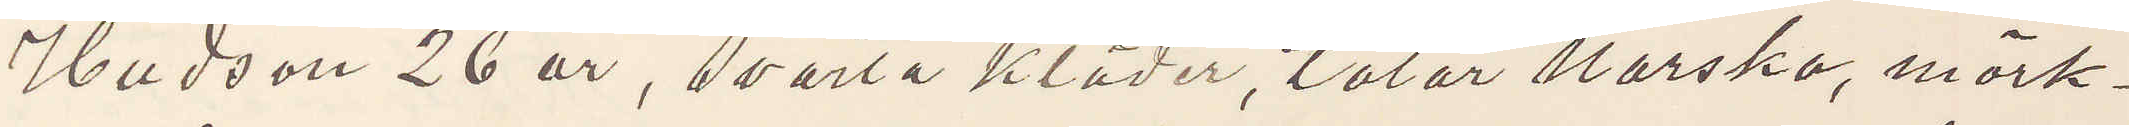Hudson 26 år, svarta kläder, talar Norska, mörk¬
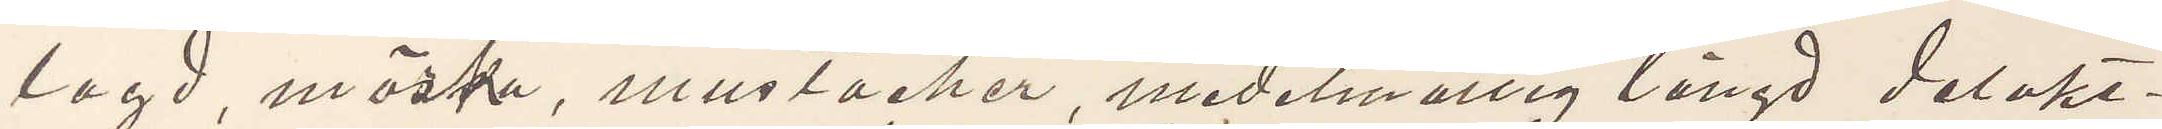lagd, mörka, mustacher, medelmåttig längd delakt¬
